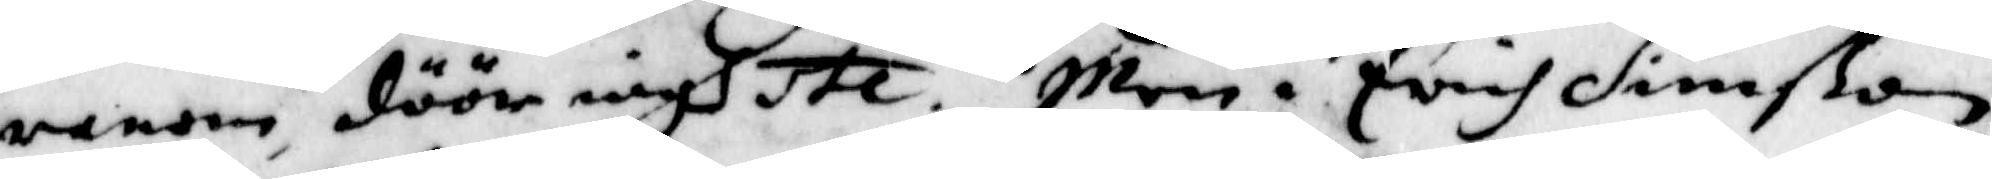ranom, döör iagh etc. Men i Erich Simßon
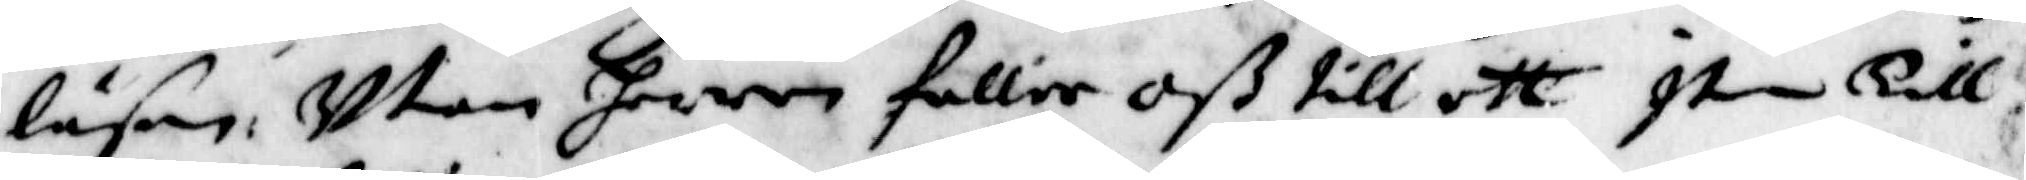läsen, Utan herren faller oß till etc item Till
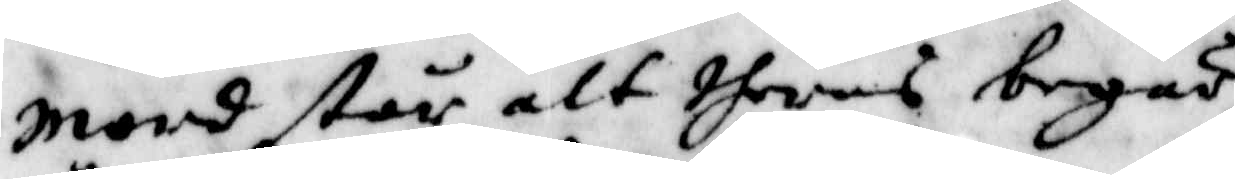mord står alt theras begär.
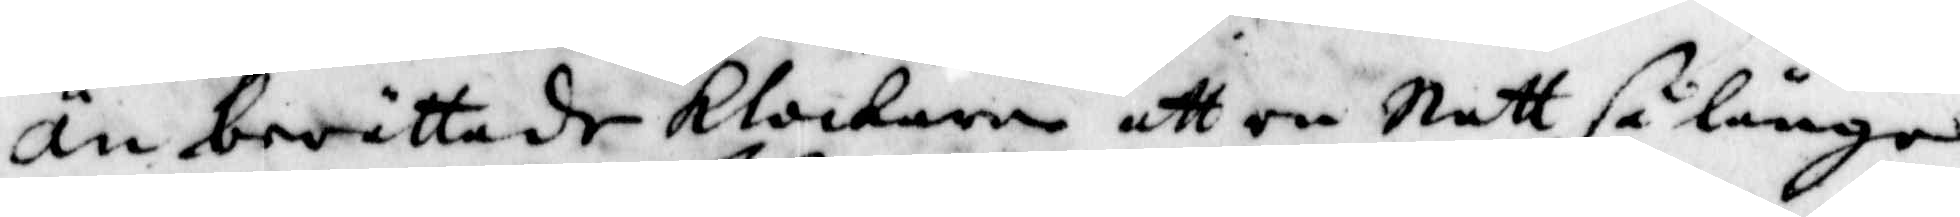Än berättade Klockaren att en Natt, så länge
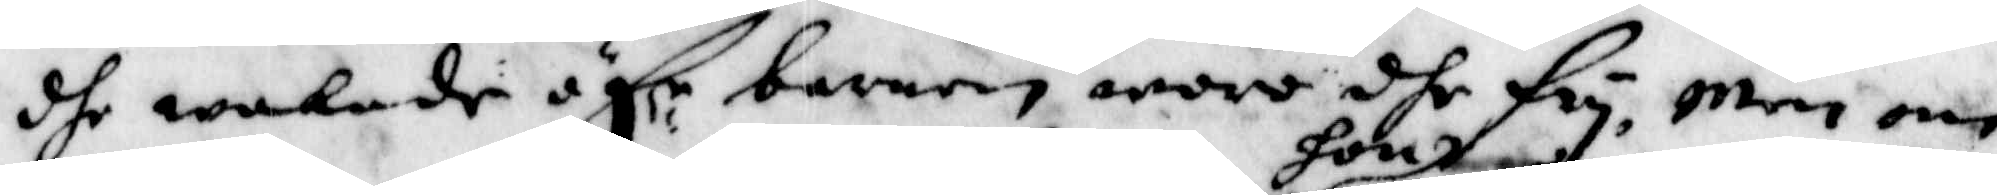dhe wakade öf:r barnen,woro dhe fry, Men om
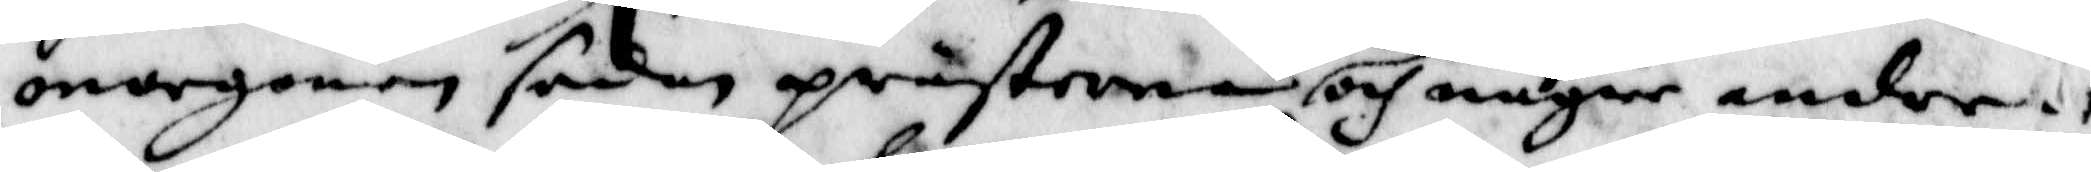morgonen sedan prästerna hon och någre andre
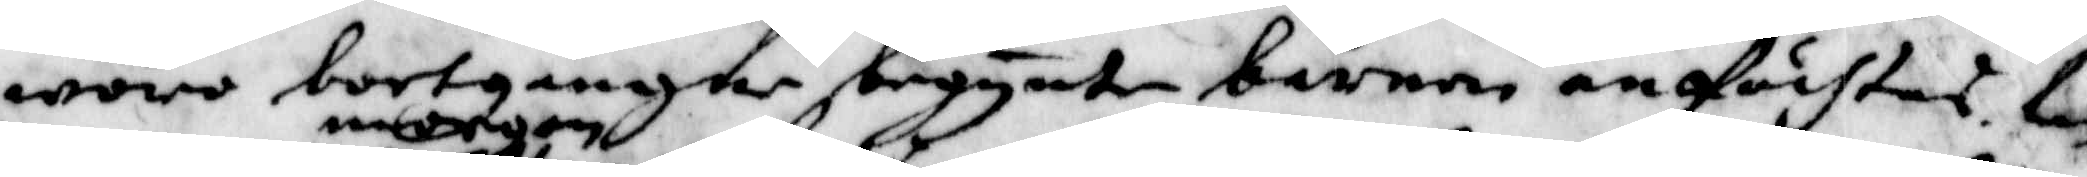woro bortgångne begynte barnen anfächtas. tn
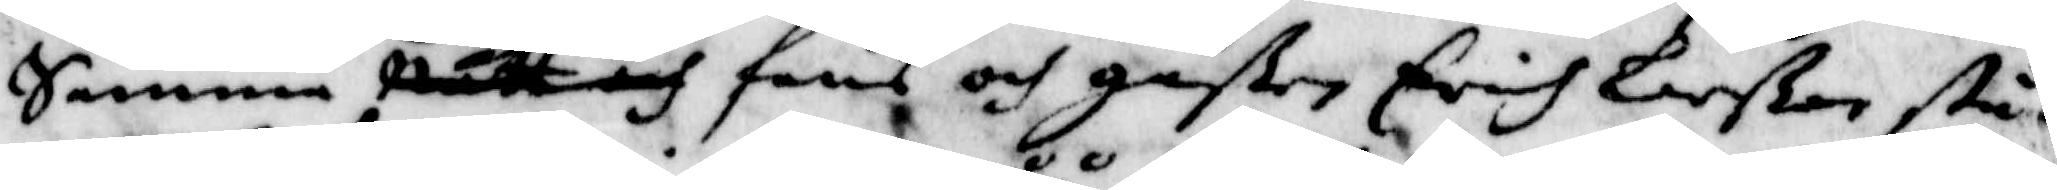Samma morgon Natt och fans och gåßen Erich Larßon står
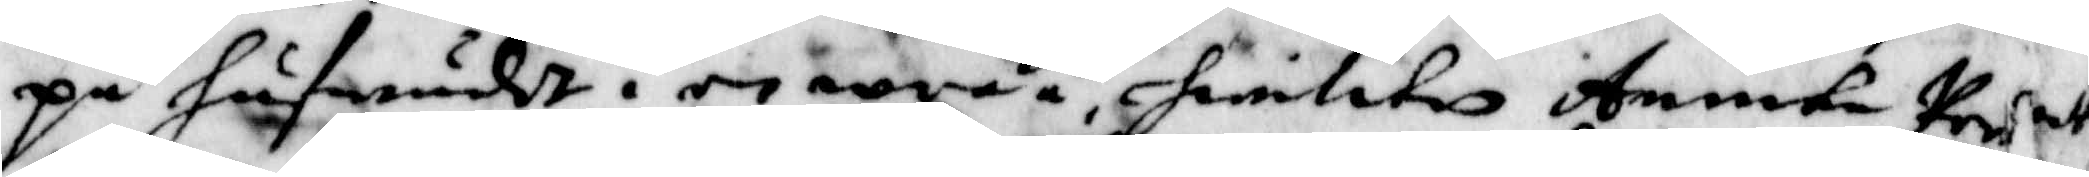på hufwudet i en wråå, hwilken Annika Pers¬
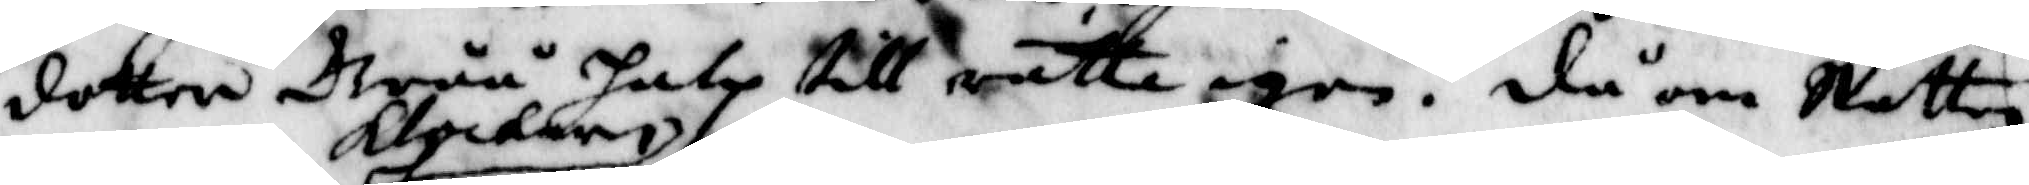dotter Gråå halp till rätta igen. då om Natten
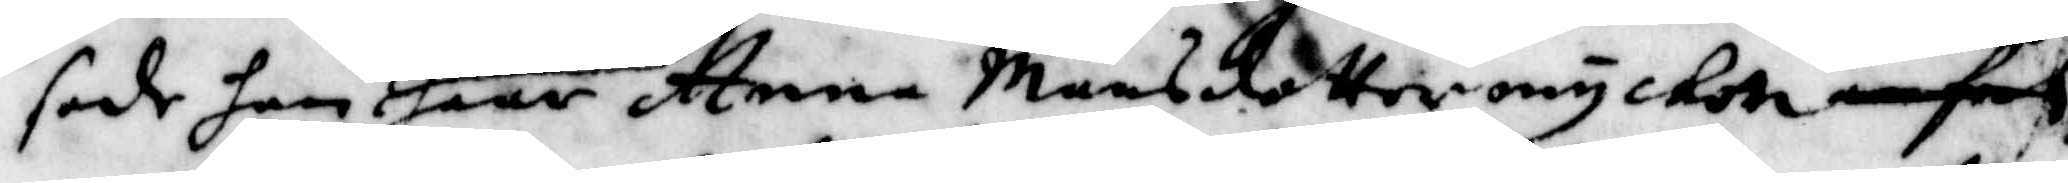sade han Klockaren haar Anna Månsdotter myckett fech
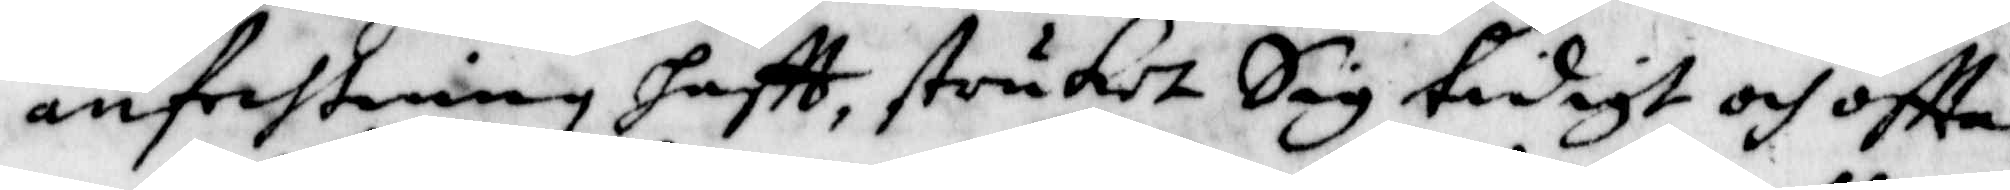anfechtning haftt, struket Sig tidigt och oftta
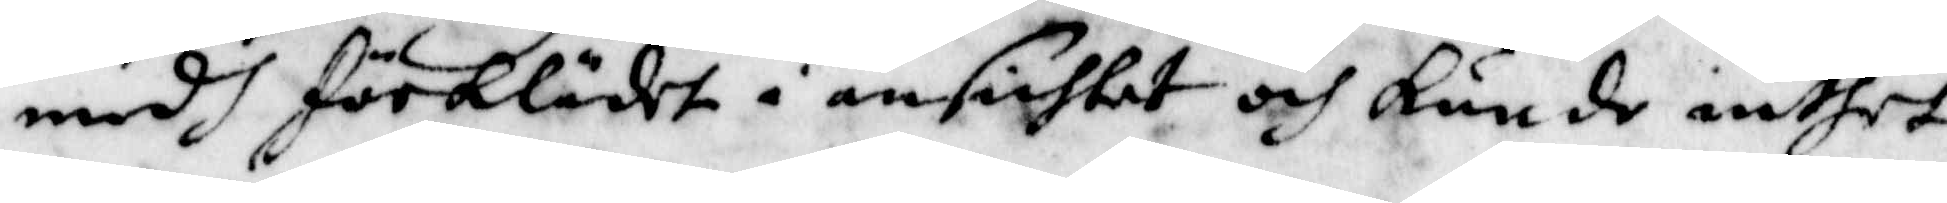medh förklädet i ansichtet och kunde inthet
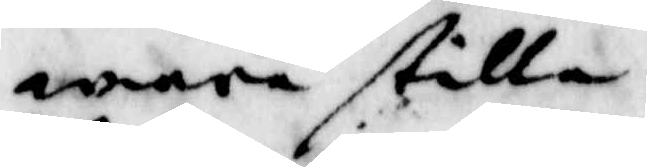wara stilla.
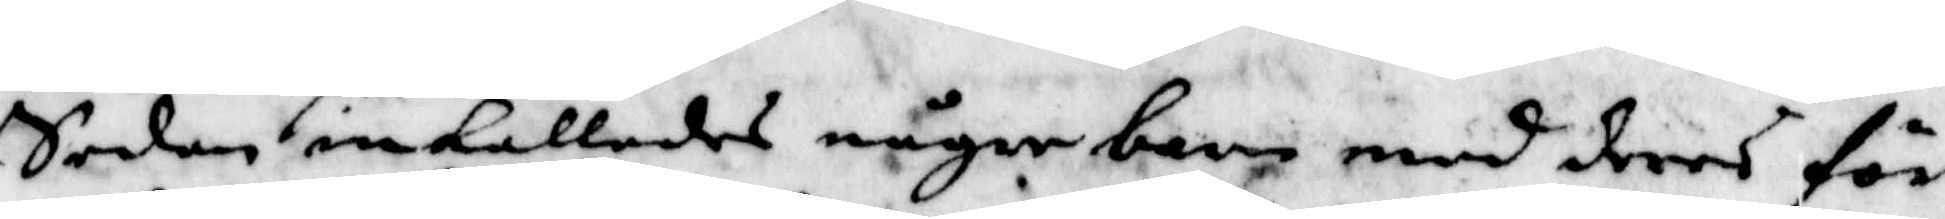sedan inkallades någre barn med deras för¬
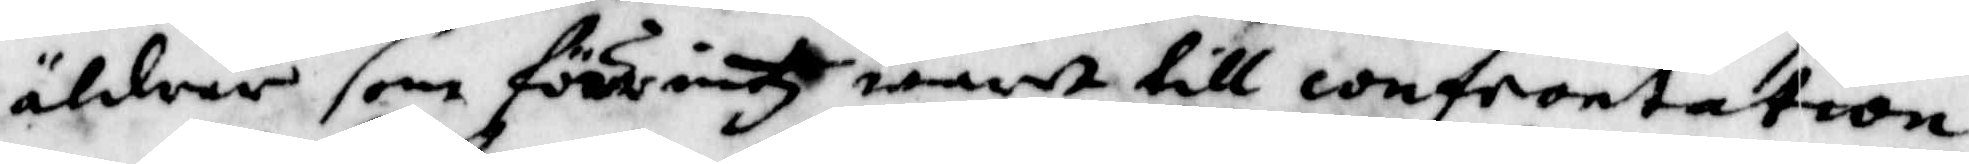äldrar som förruth warit till confrontation
